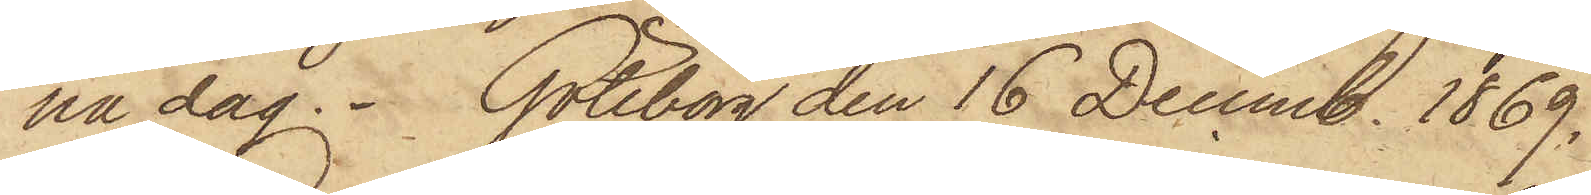na dag. Göteborg den 16 Decemb. 1869.
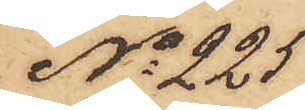No 225
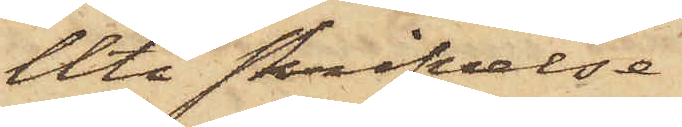Uti skrifvelse
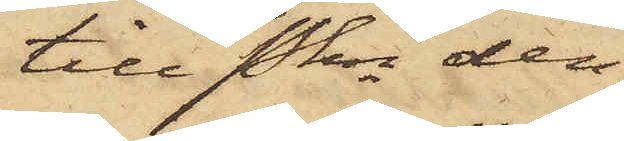till Pkn den
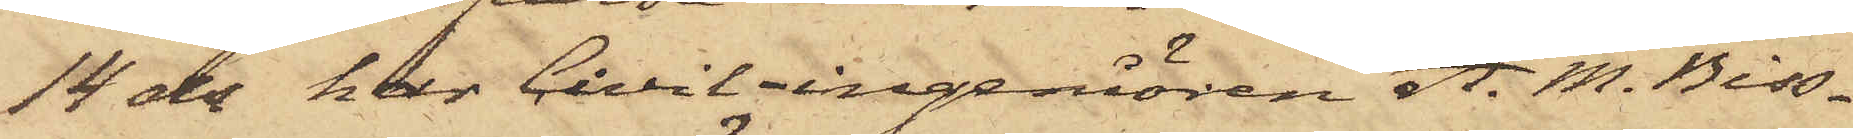14 ds har Civilingeniören A. M. Biss¬
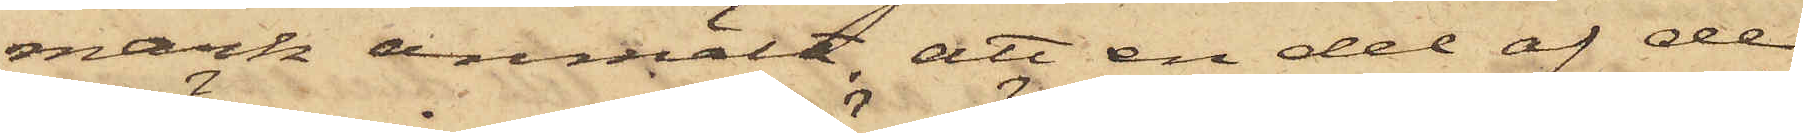mark anmält, att en del af de
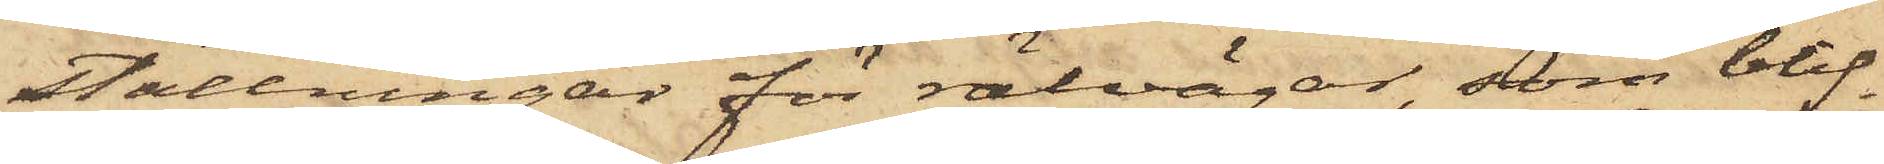ställningar för rälvägar, som blif¬
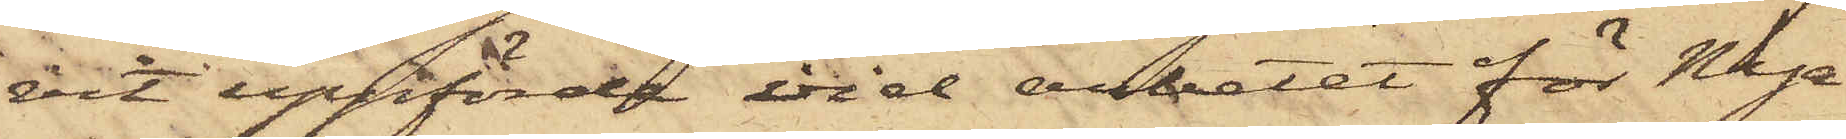vit uppförde vid arbetet för Nya
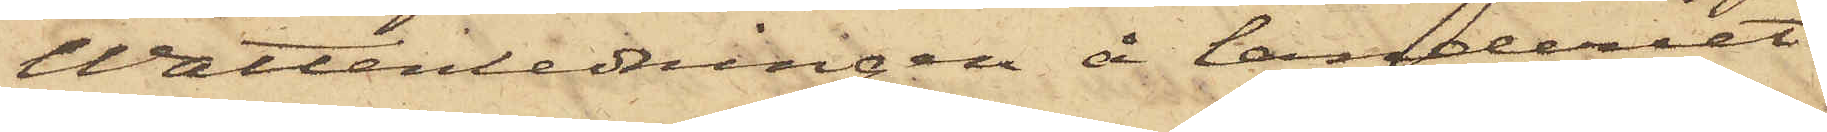Wattenledningen å landeriet
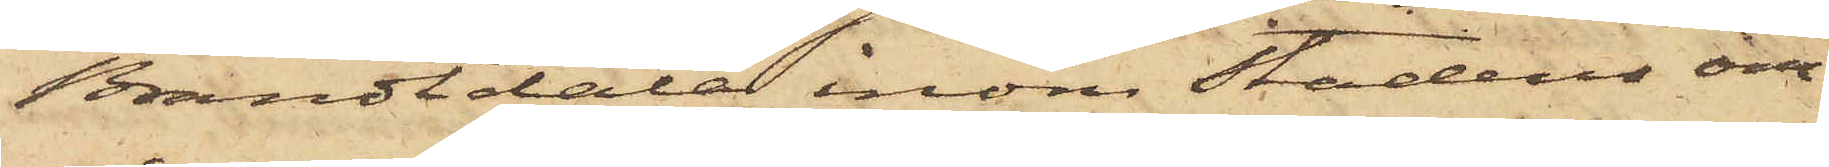Brandtdala inom stadens om¬
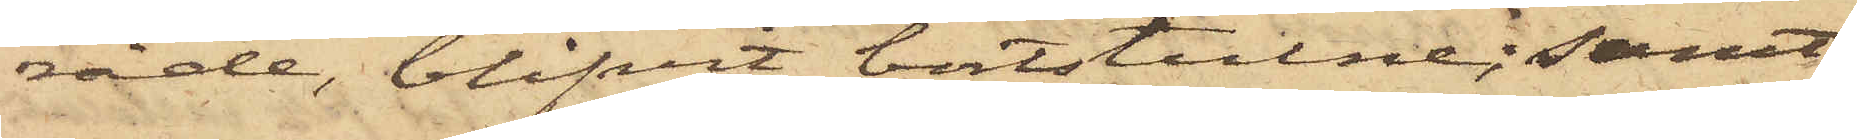råde, blifvit bortstulne; samt
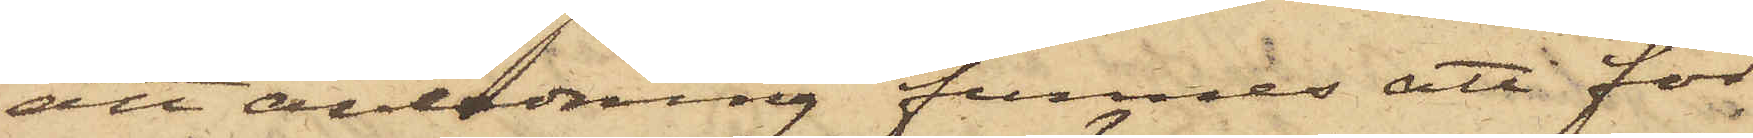att anledning funnes att för
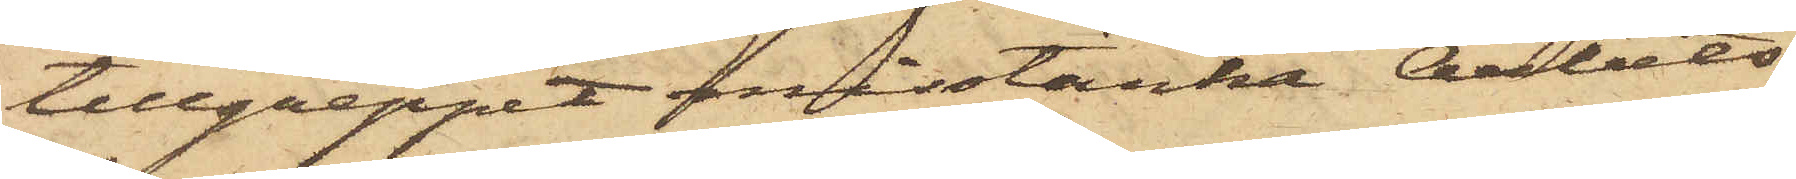tillgreppet misstänka Arbets¬
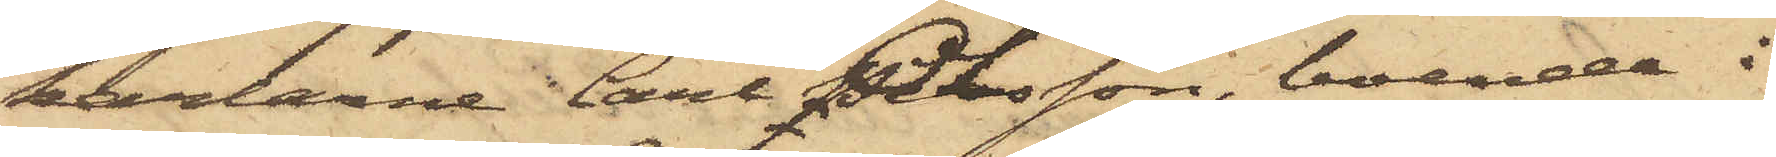karlarne Carl Olsson, boende i
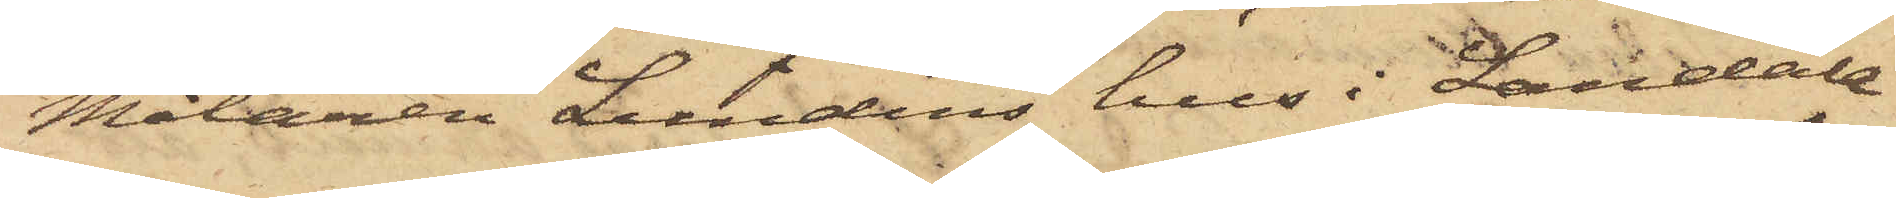Målaren Lundins hus i Landala¬
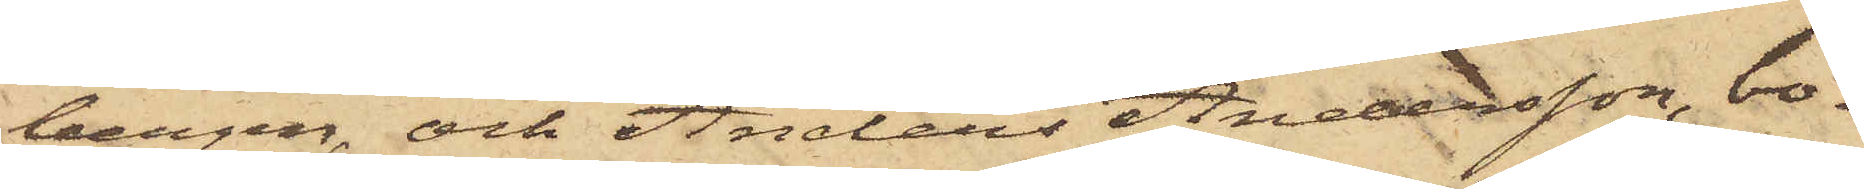bergen, och Anders Andersson, bo¬
